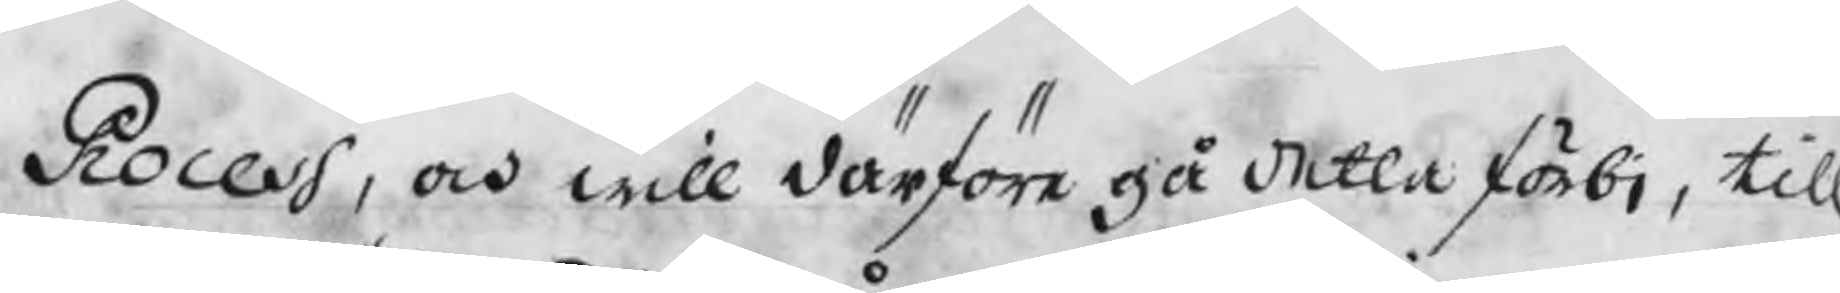Process, och will därföre gå detta förbi, till
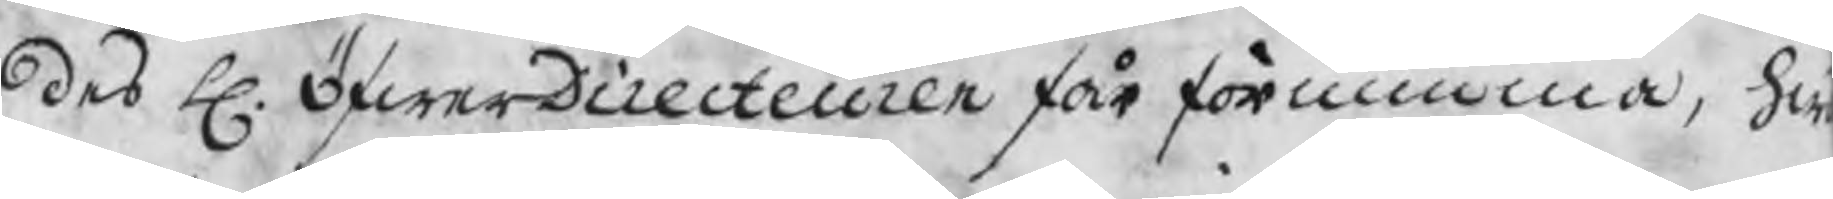des H. ÖfwerDirecteuren får förnimma, hw
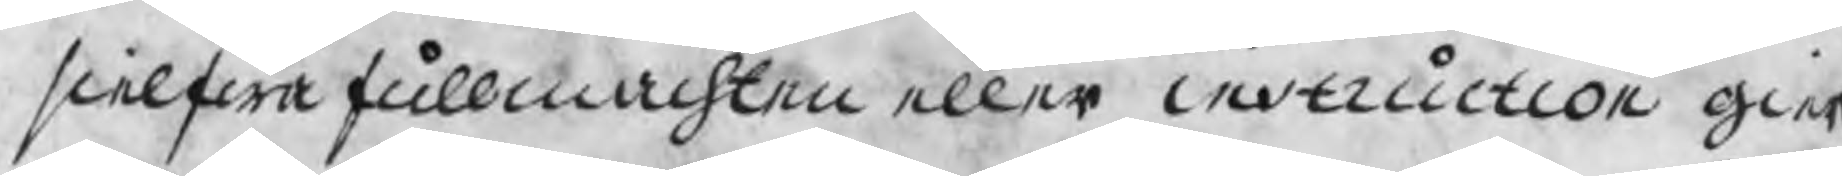sielfwa fullmachten eller instruction gier
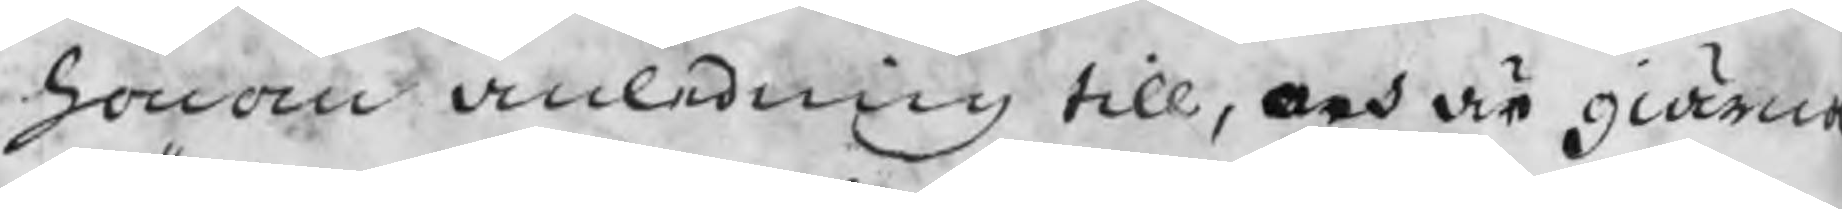honom anledning till, och är giärna
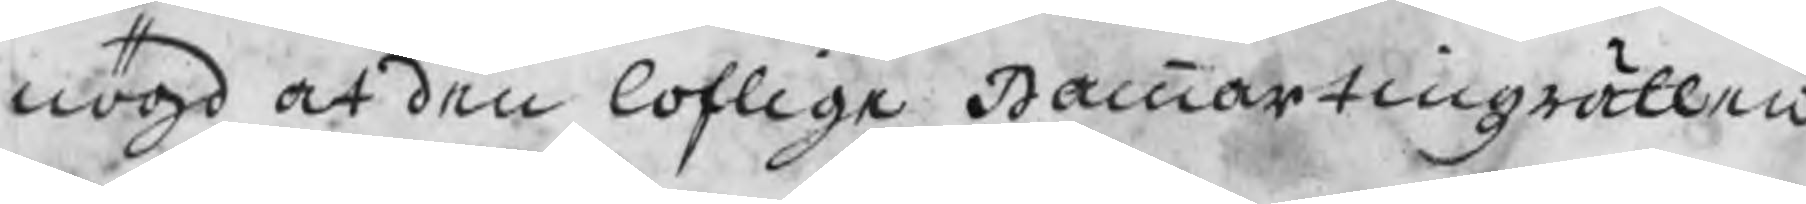nögd at den loflige Hammartingsrätten
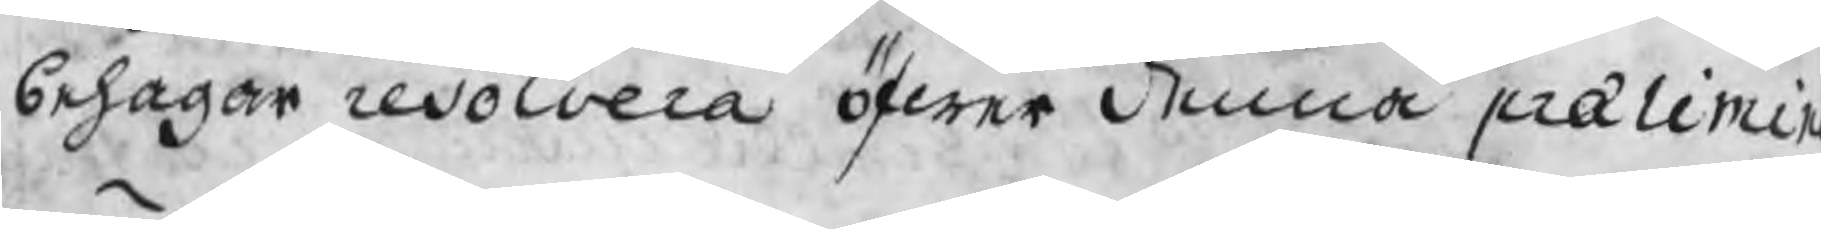behagar resolvera öfwer denna prælimin
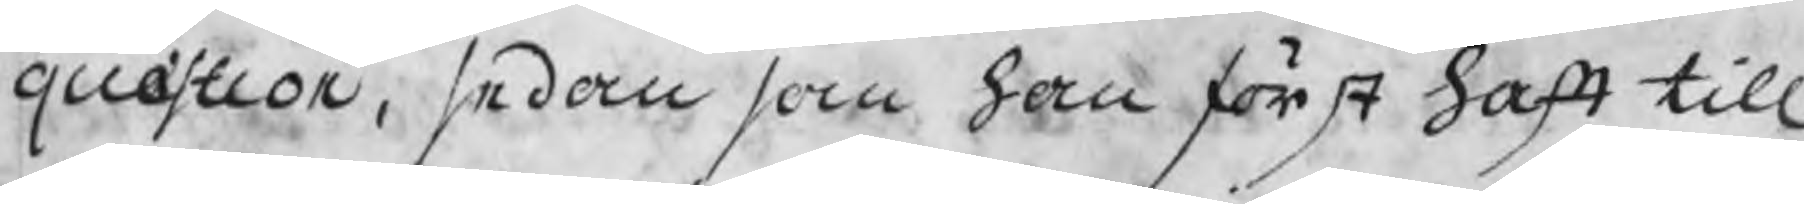quæstion, sedan som han först haft till
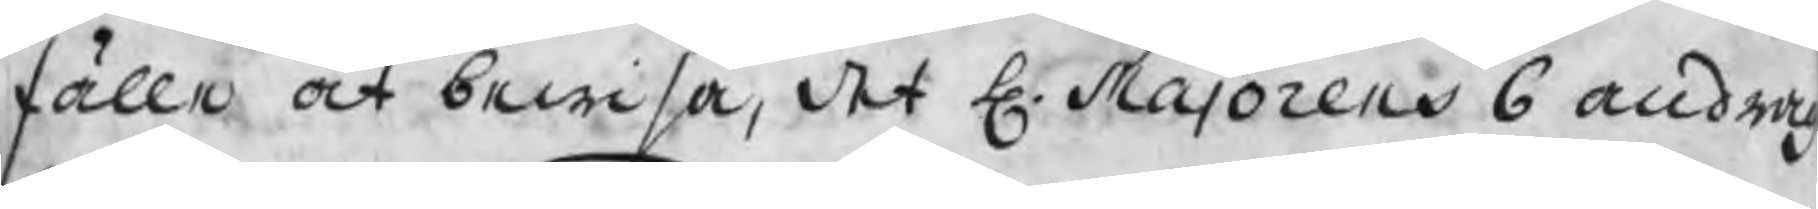fälle at bewisa, det H. Majorens 6 andra
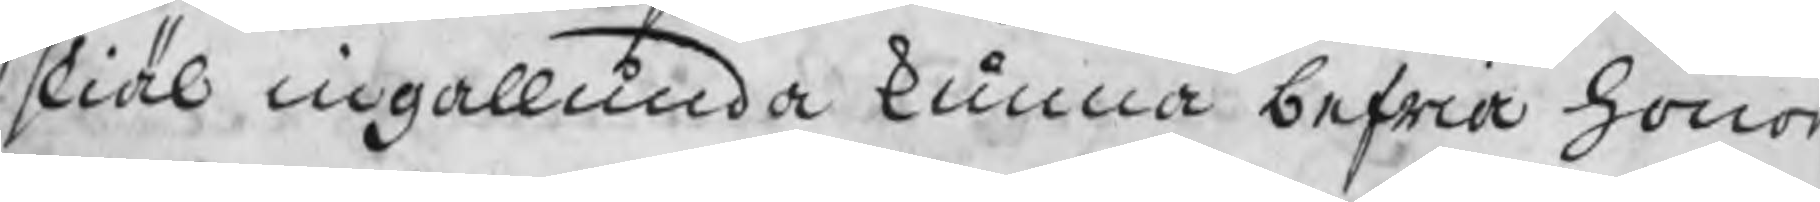skiäl ingallunda kunna befria hono
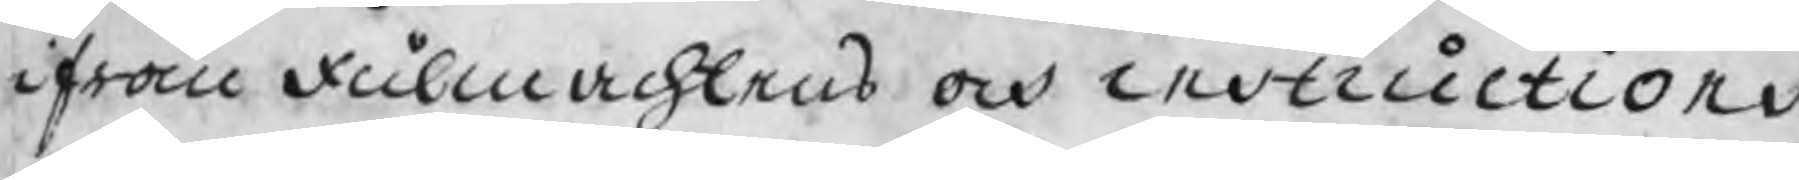ifrån fullmachtens och instructions
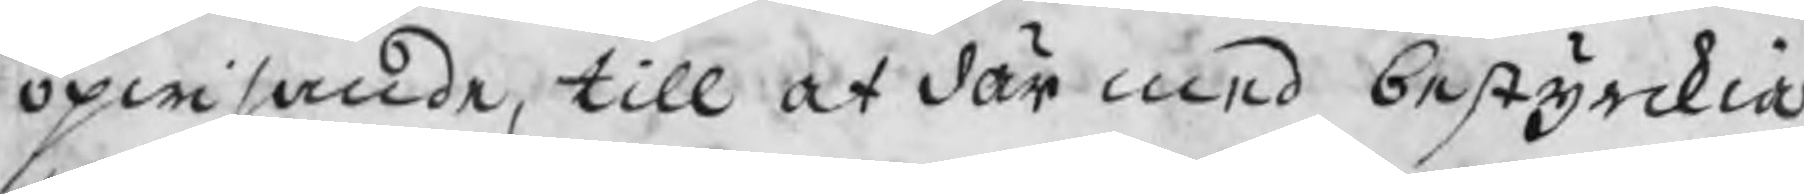opwisande, till at där med bestyrkia
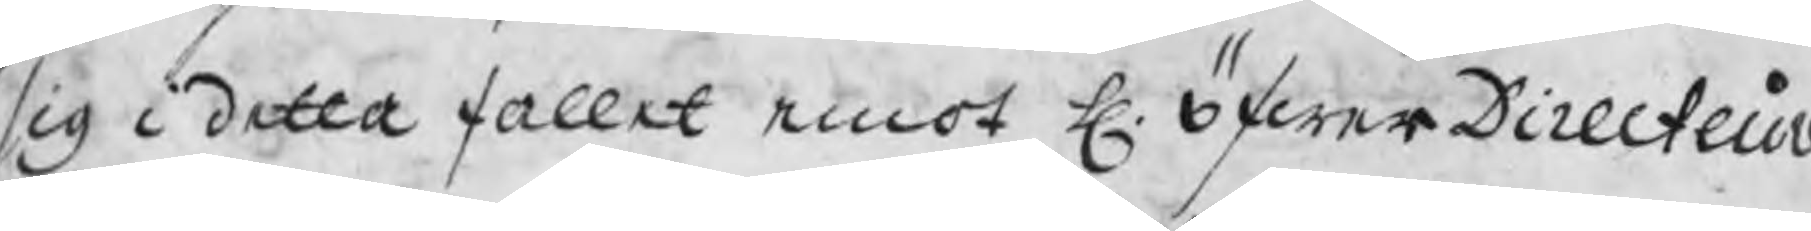sig i detta fallet emot H. ÖfwerDirecteure
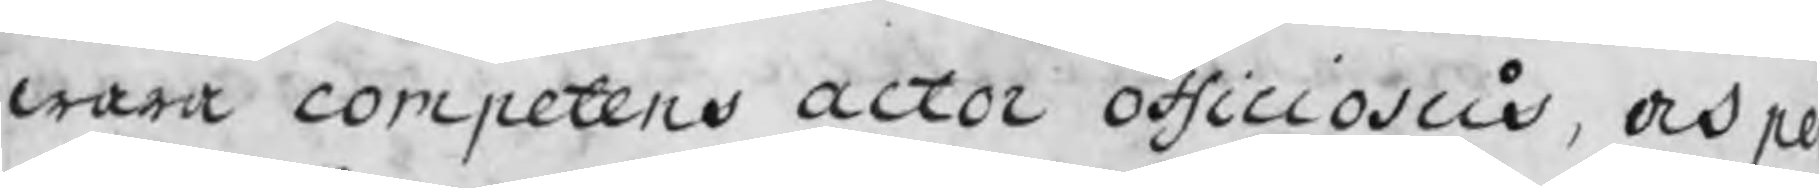wara competens actor officiosus, och p
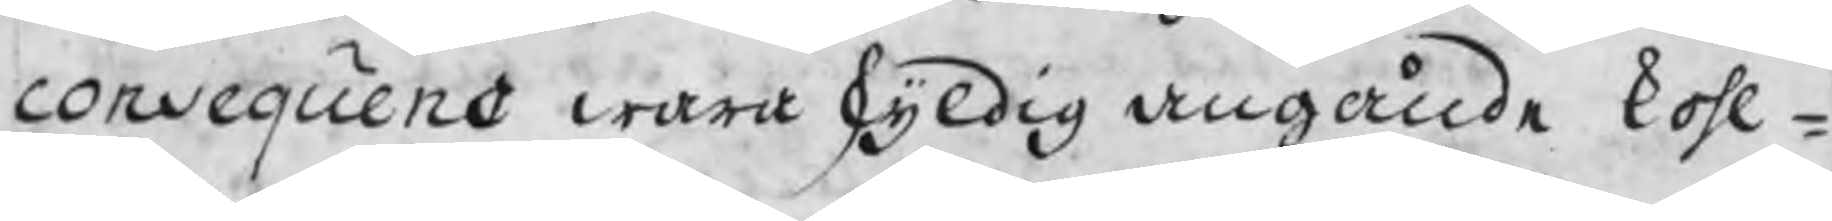consequens wara skyldig angående kohl¬
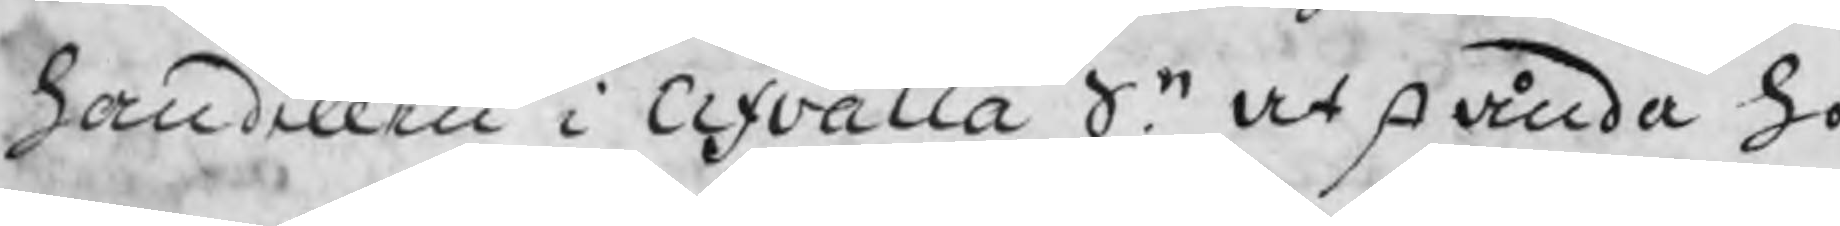handellen i Erfvalla Sn. at stånda ho
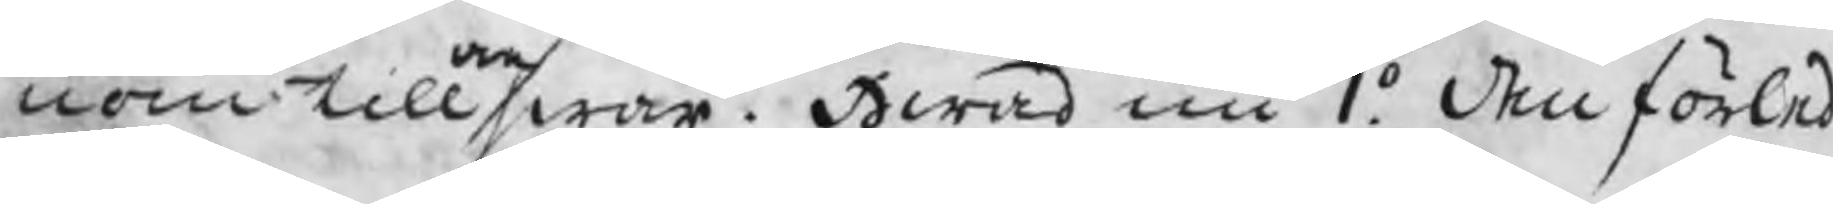nom till answar. Hwad nu 1o. den förled
